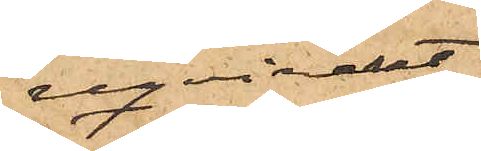reqvirerat
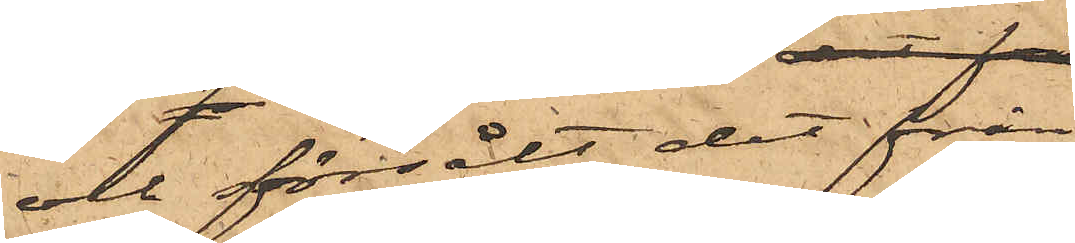och försålt det från
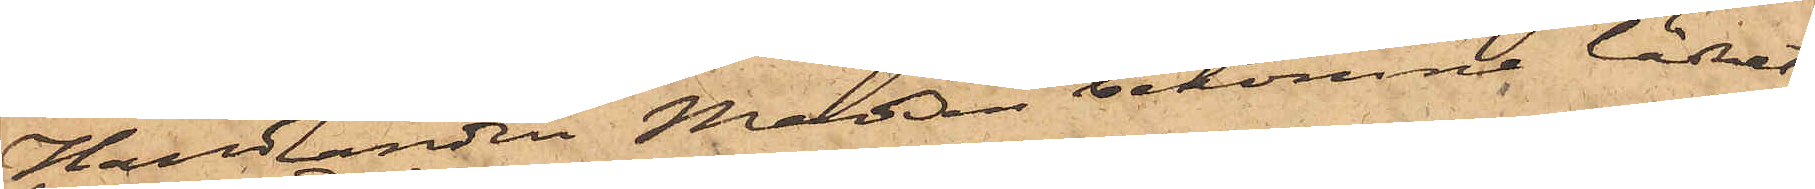Handlanden Madsen bekomne lädret;
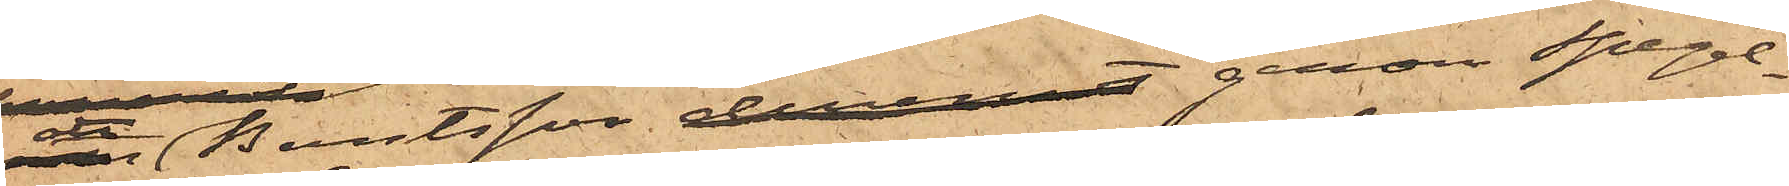att Berntsson deremot genom Spegel¬
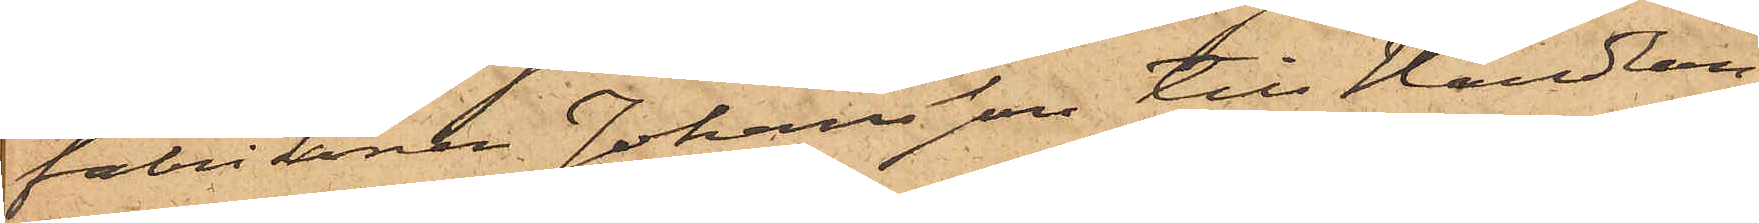fabrikören Johansson till Handlan¬
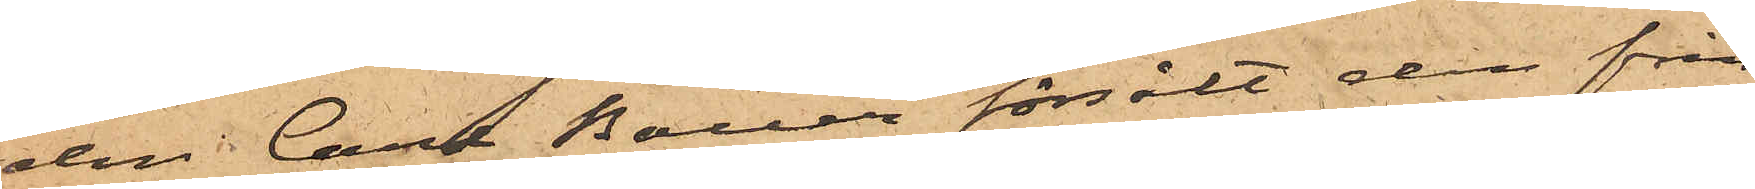den Carl Bauer försålt den från
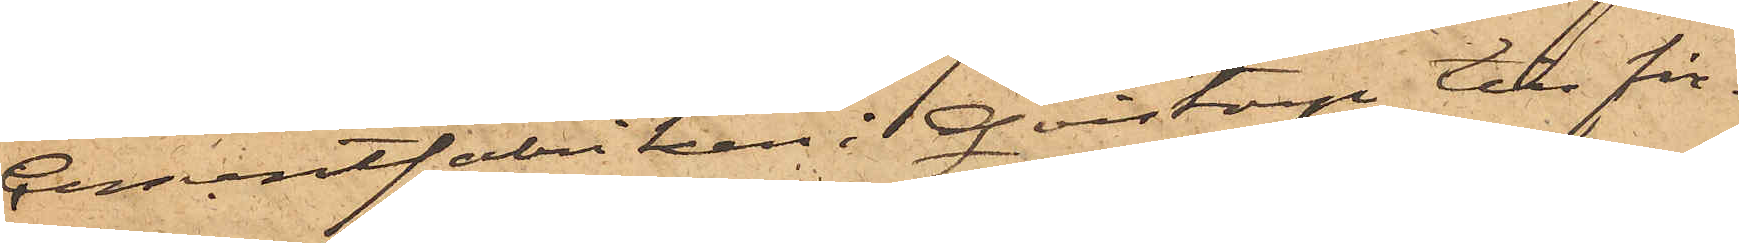Cementfabriken i Qvistorp till fir¬
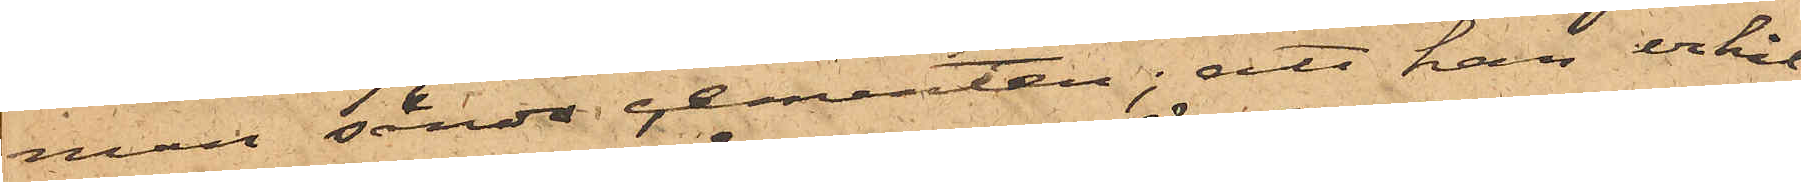man sände cementen; att han erhål¬
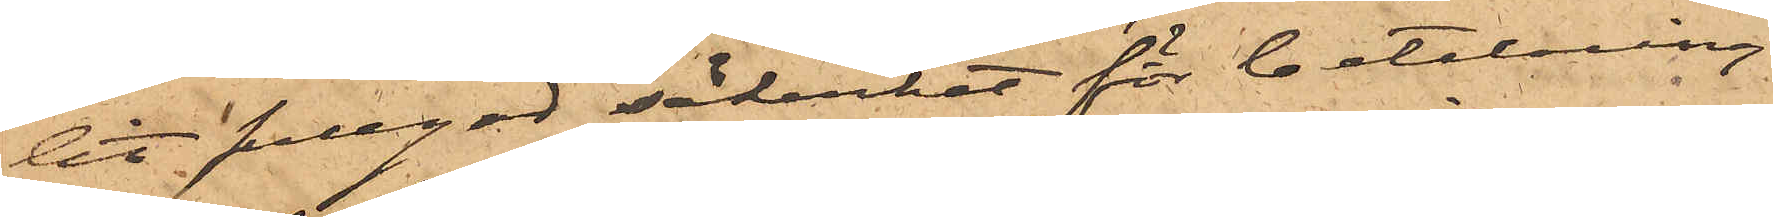lit fullgod säkerhet för betalning
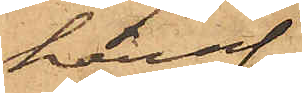häraf
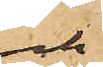och
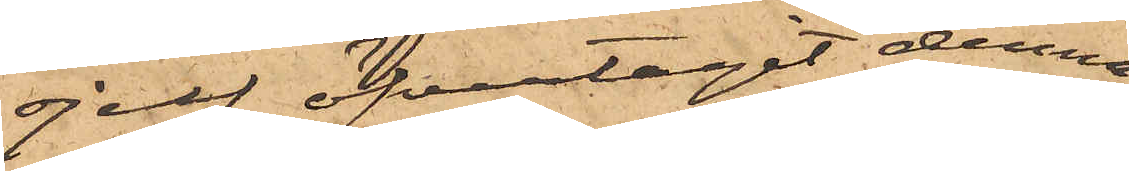sjelf öfvertagit denna
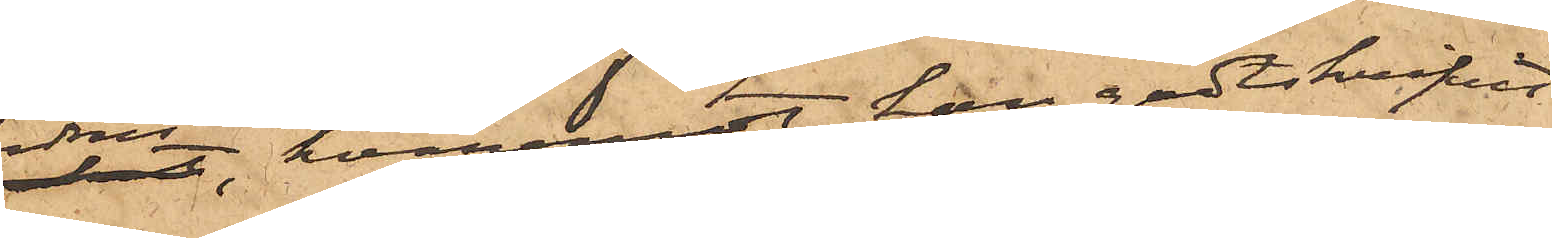fordran, hvaremot han godtskrifvit
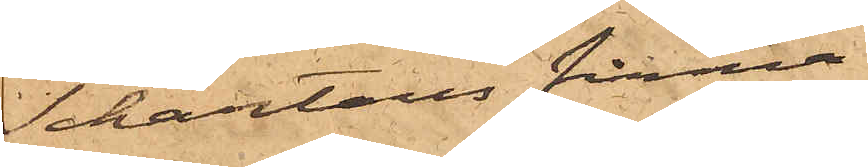Schartaus firma
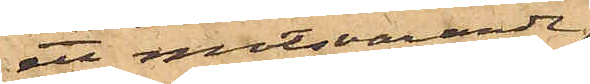ett motsvarande.
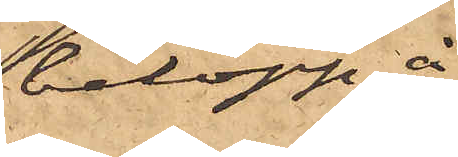belopp å
